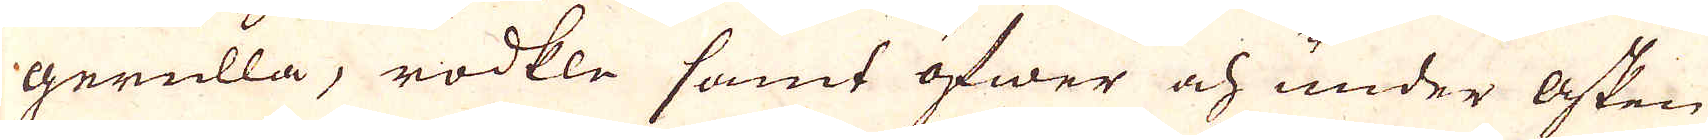gerulla; rodkle somt öfwer och under asken
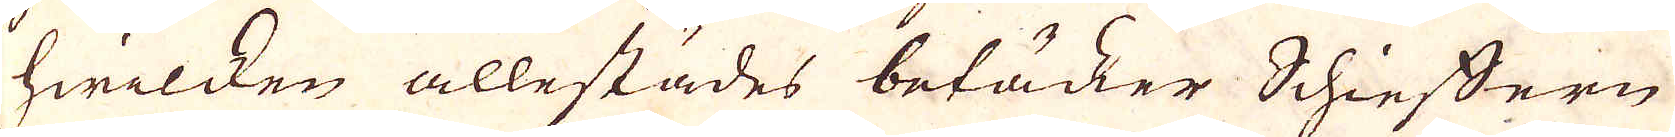hwilcken allestädes betäker Schieffern
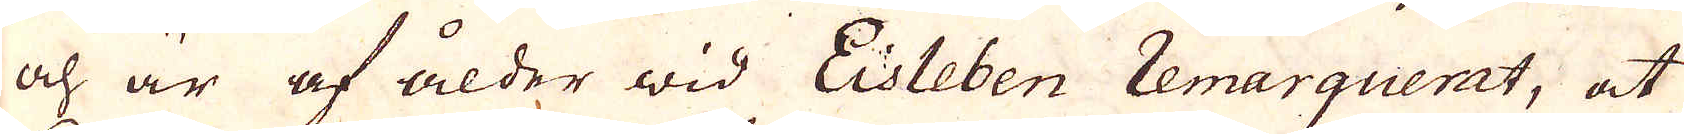och är af ålder wid Eisleben remarquerat, at
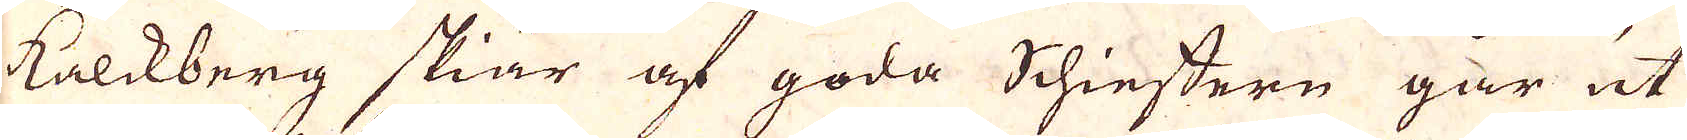kalkberg skiär af goda Schieffern går ut
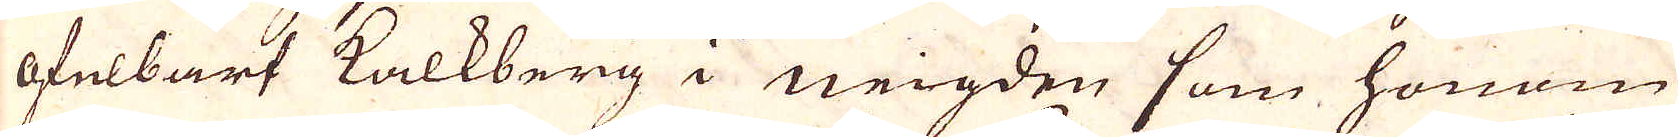ofelbart kalkberg i neigden som honom
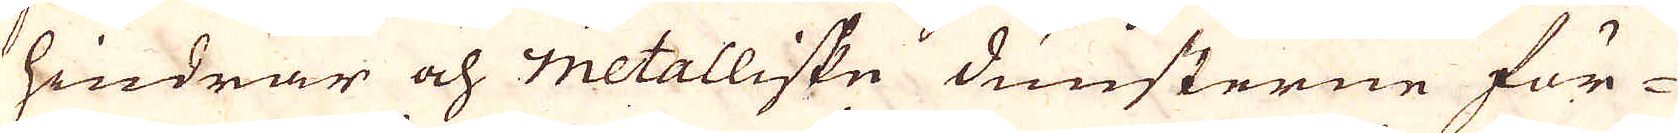hindrar och metalliske dunsterne för-
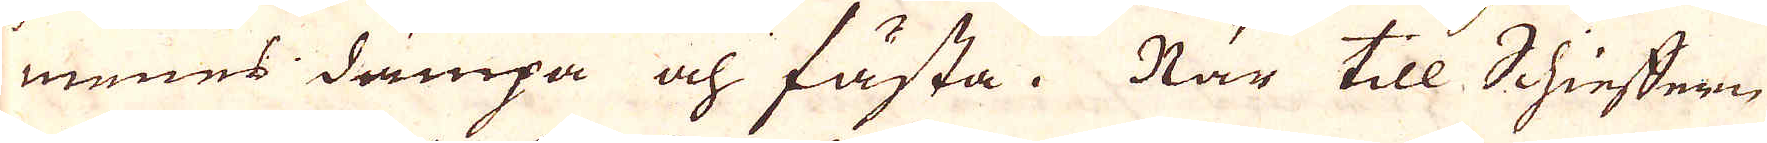menes dämpa och fästa. När till Schieffern
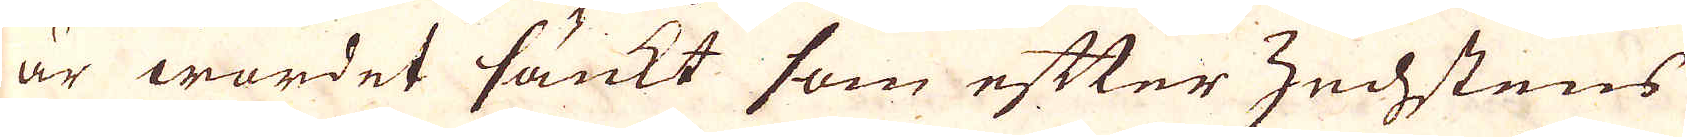är wordet sänkt som efter zechstens
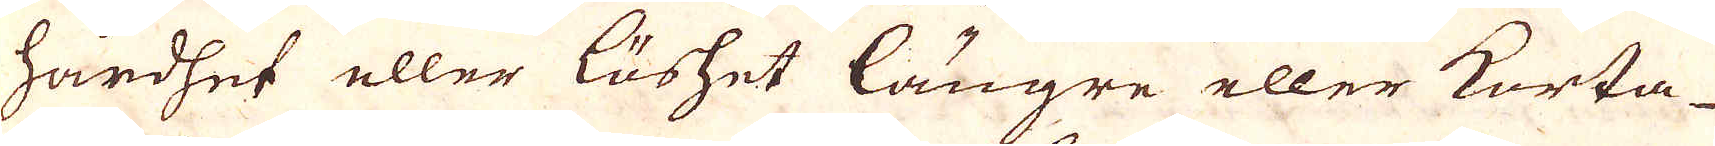hårdhet eller löshet längre eller Korta-
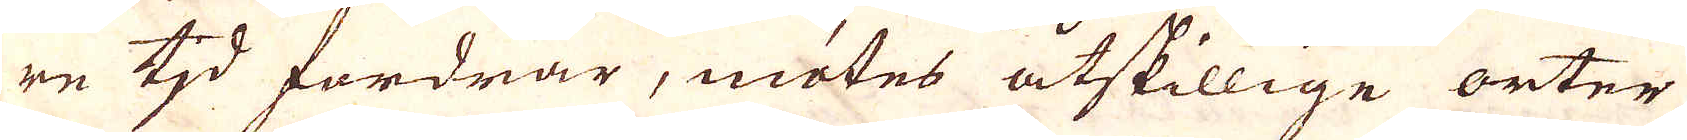re tid fordrar, mötes åtskillige orter
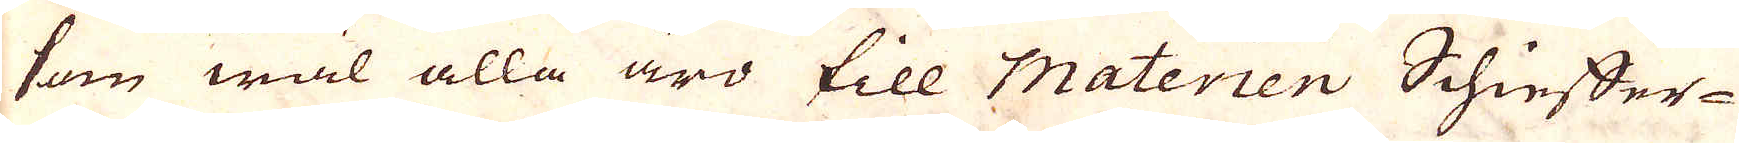som wäl alla äro till Materien Schieffer-
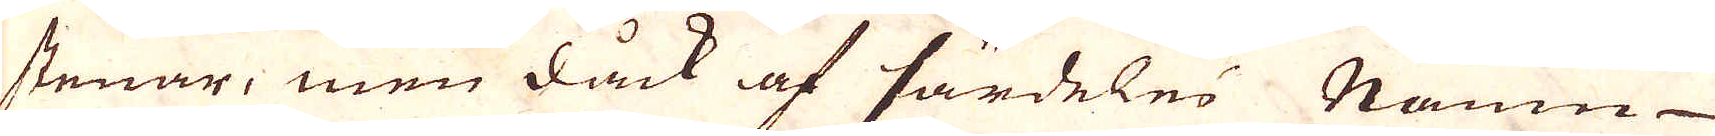stenar, men dåck af särdeles Namn
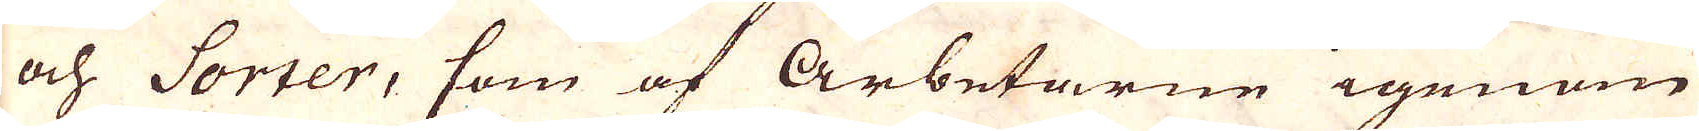och Sorter, som af Arbetarne igenom
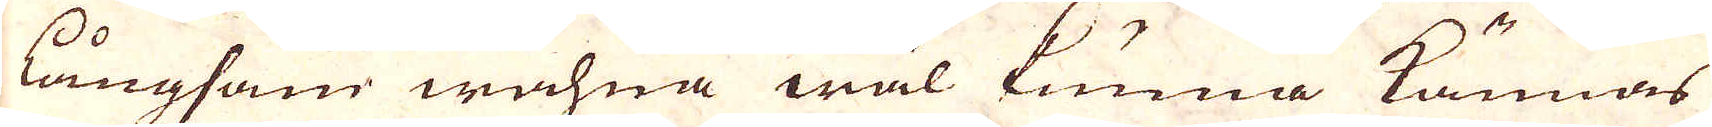långsam wahra wäl kunna kännas
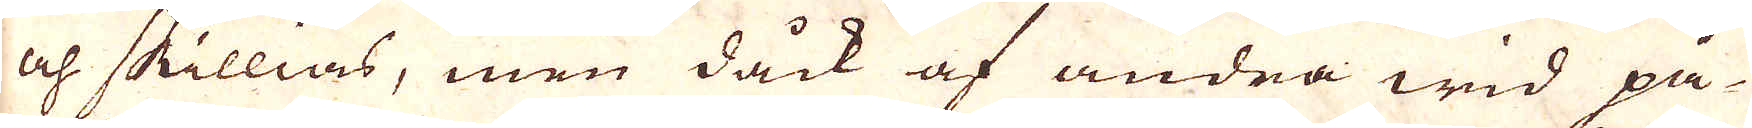och skillias, men dåck af andra wid på-
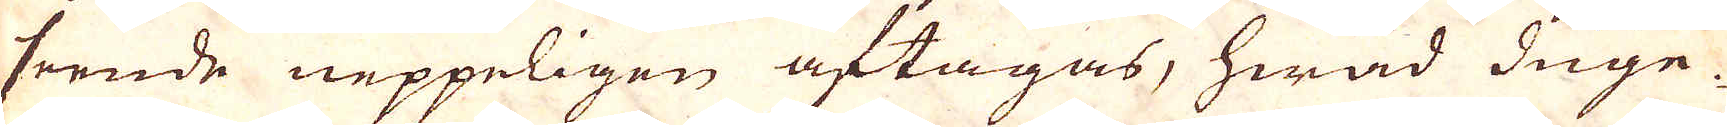seende neppeligen aftagas, hwad duge-
